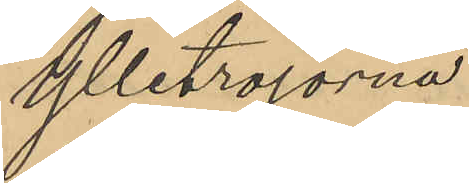Ylletröjorna
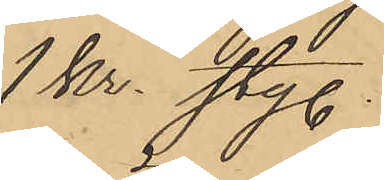1 kr. sty.
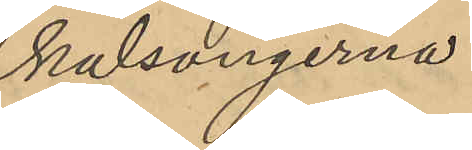kalsongerna
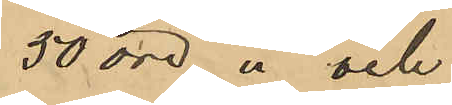50 öre " och
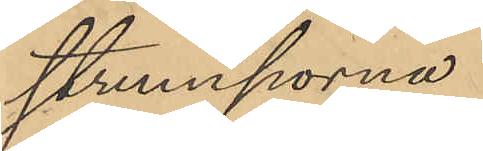strumporna
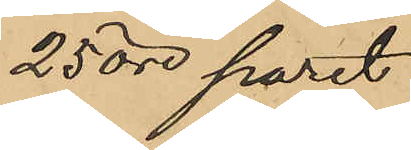25 öre paret
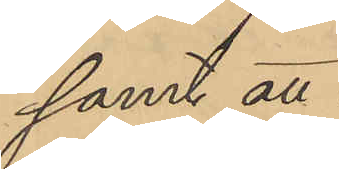samt att
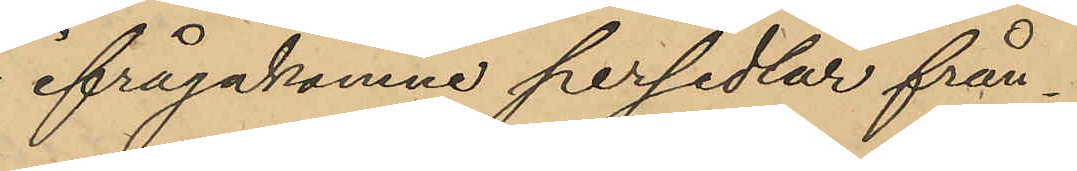ifrågakomne persedlar från¬
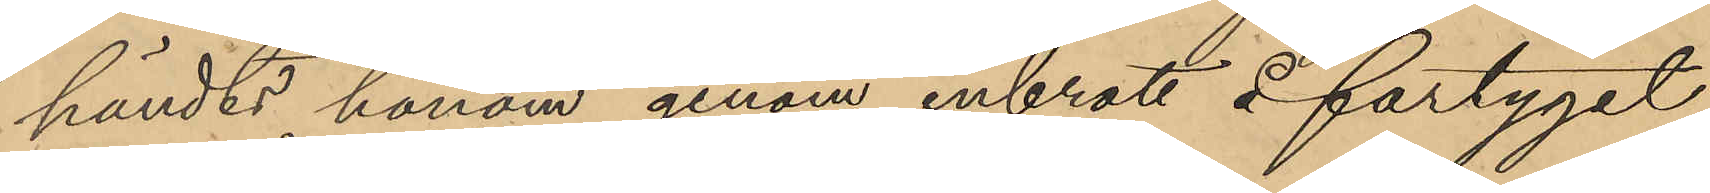händts honom genom inbrott å fartyget
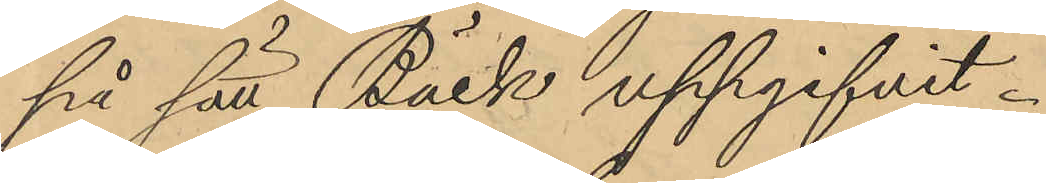på sätt Bäck uppgifvit.
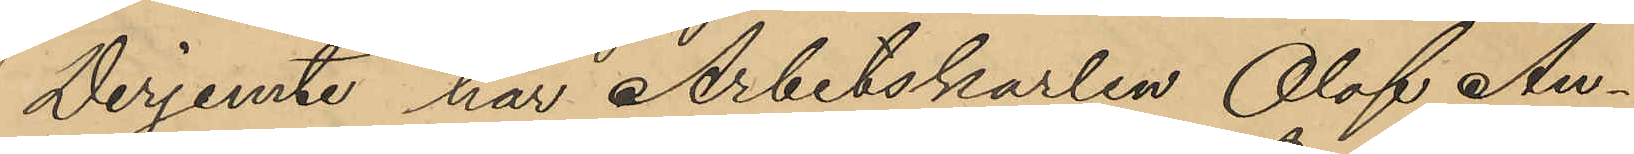Derjemte har Arbetskarlen Olof An¬
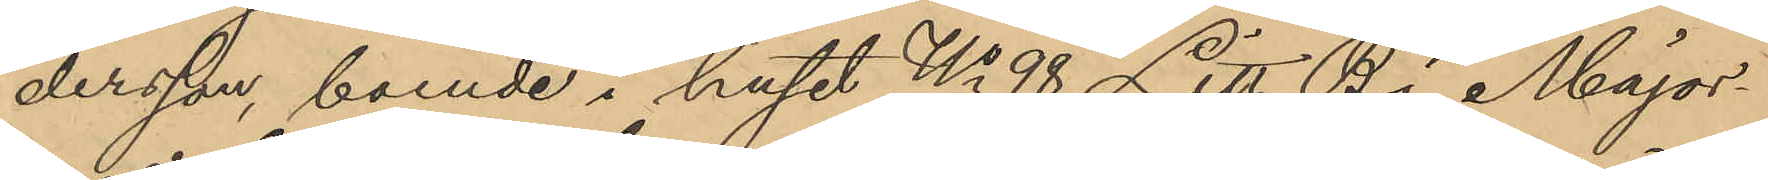dersson, boende i huset No 98 Litt. B i Major¬
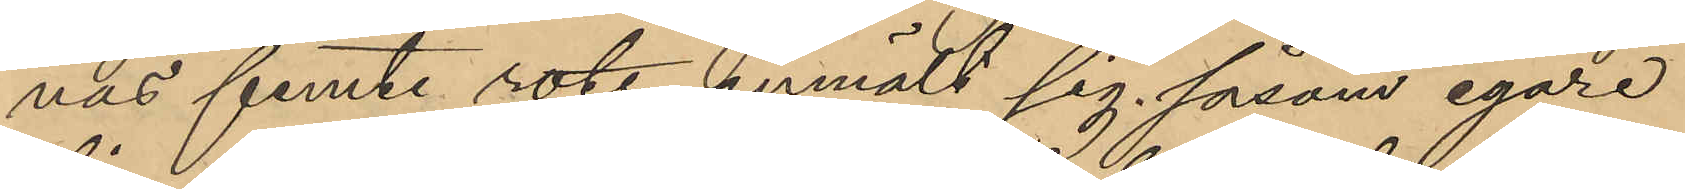nas femte rote, anmält sig såsom egare
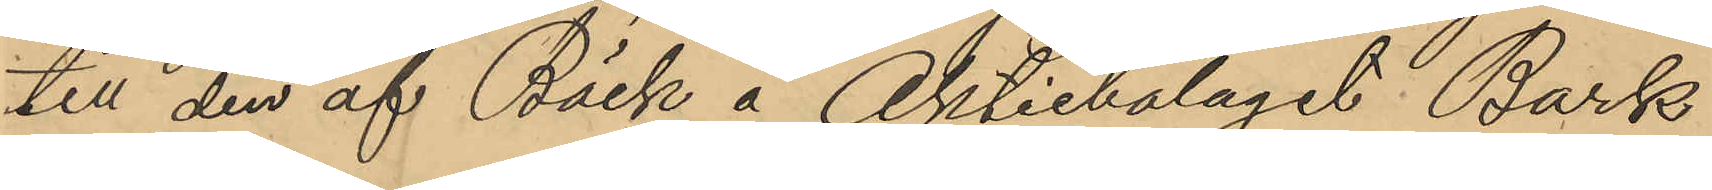till den af Bäck å Aktiebolaget Bark
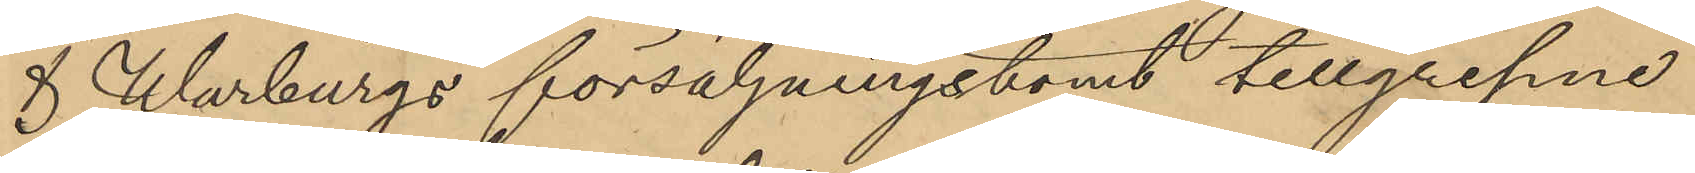& Warburgs försäljningstomt tillgripne
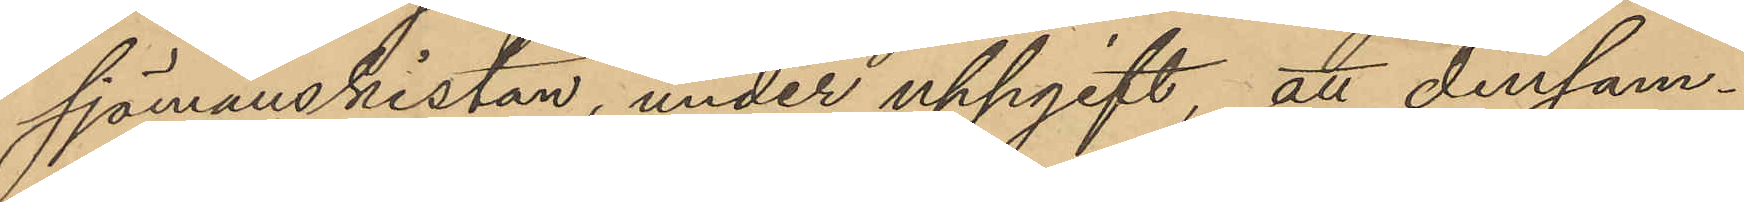sjömanskistan, under uppgift, att densam¬
